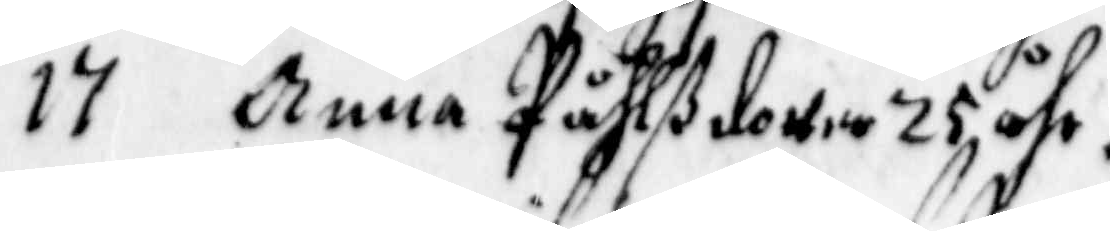Anna Påhlsdotter 25 åhr.
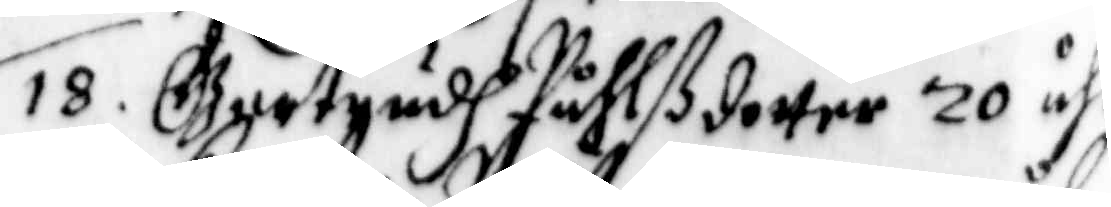18. Gertrudh påhlsdotter 20 åhr
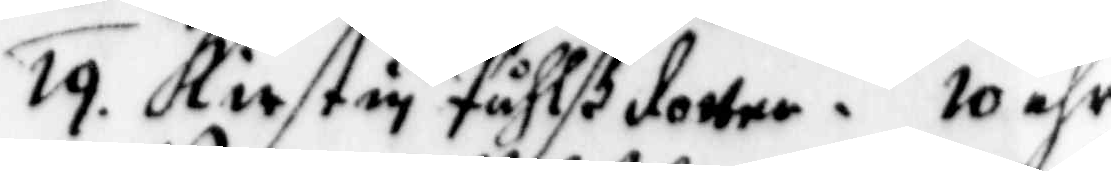19. Kirstin Påhlsdotter 10 åhr
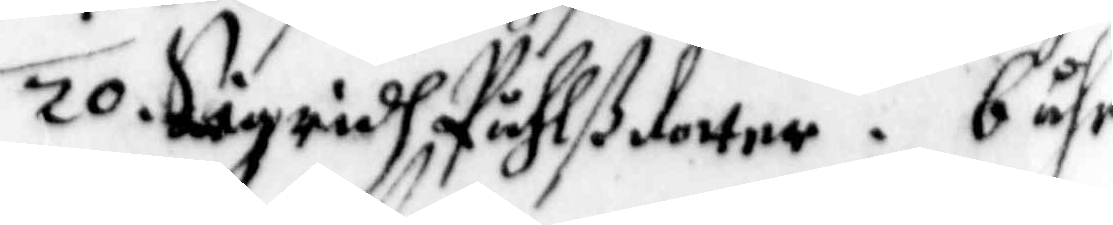20. Sigridh Påhlsdotter 6 åhr.
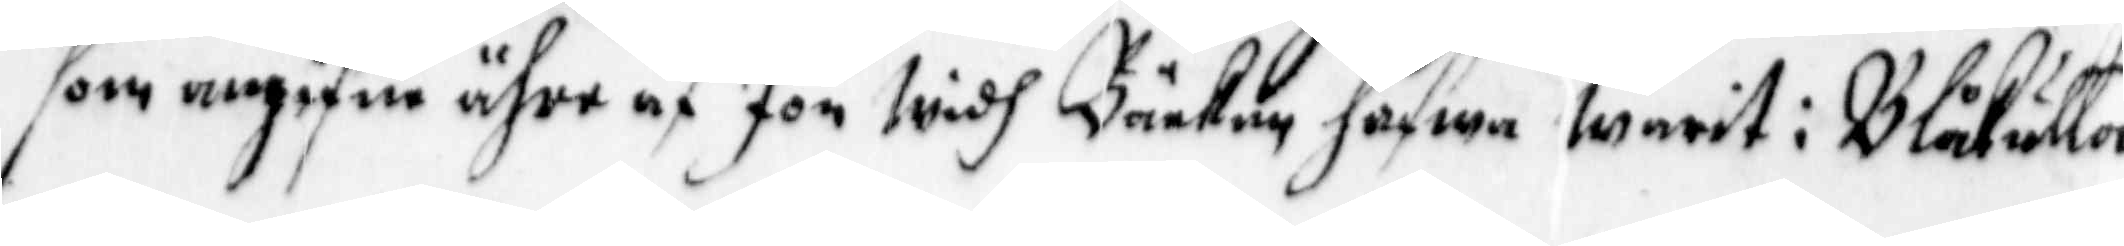som angifne ähre af Jon widh Bäcken hafwa warit i Blåkulla
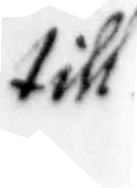till
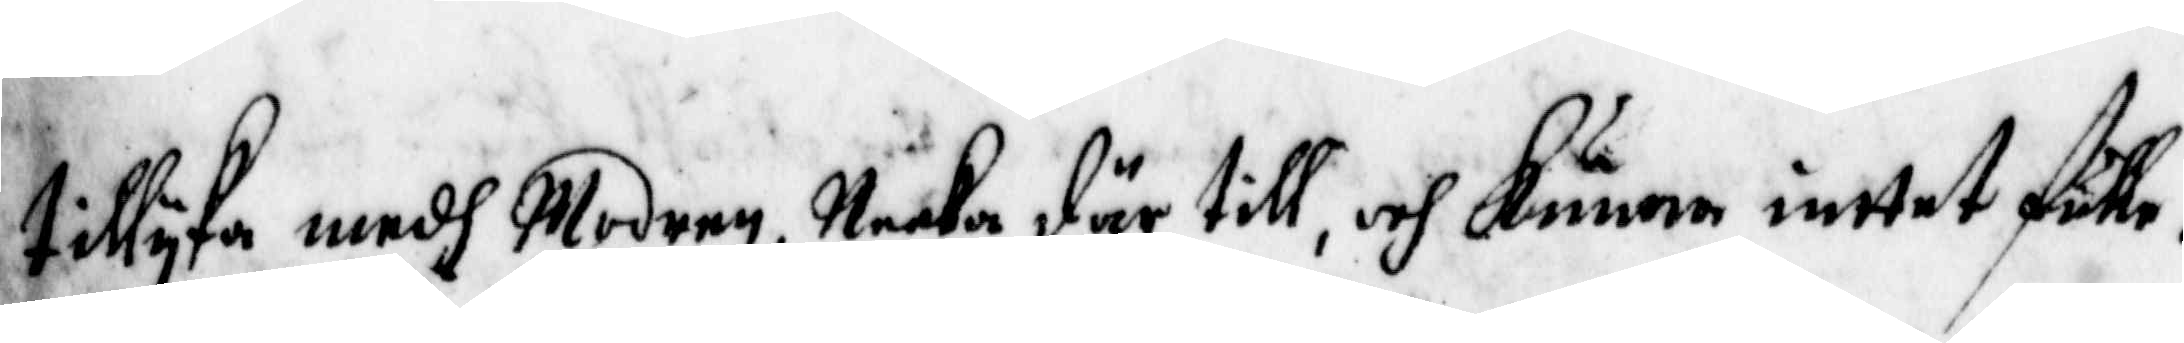tillyka medh Modren, neeka där till, och kunna inttet fulle¬
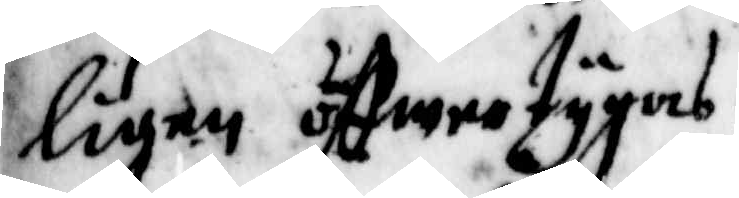ligen öffwertygas.
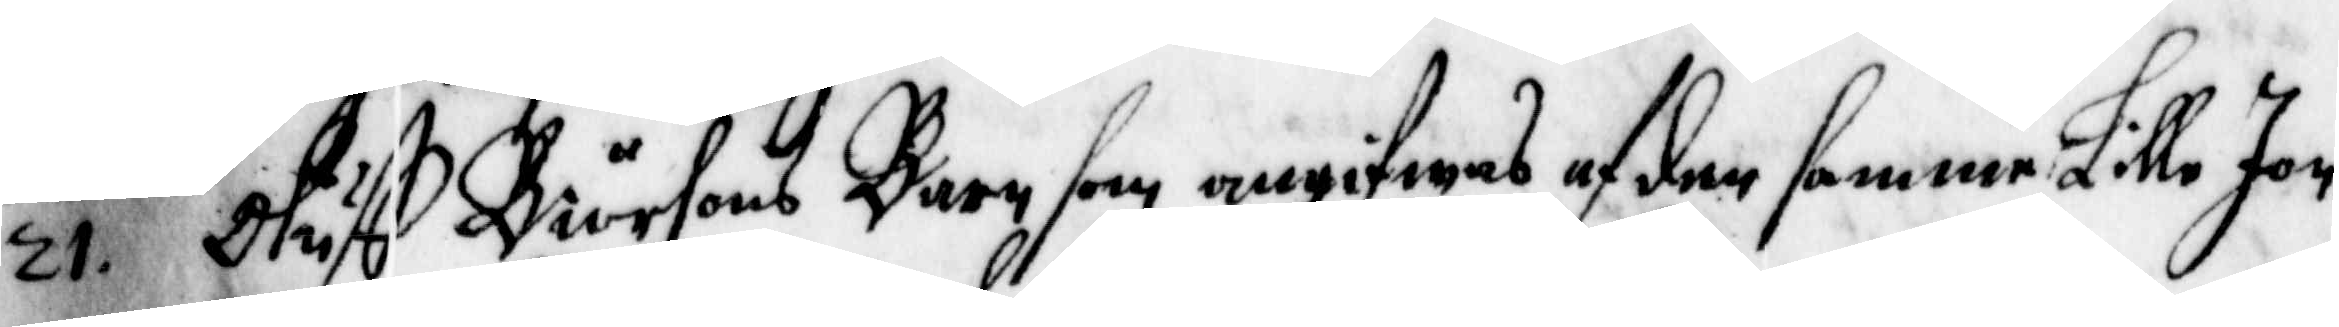21. Oluff Biörsons Barn som angifwas af der samme Lille Jon
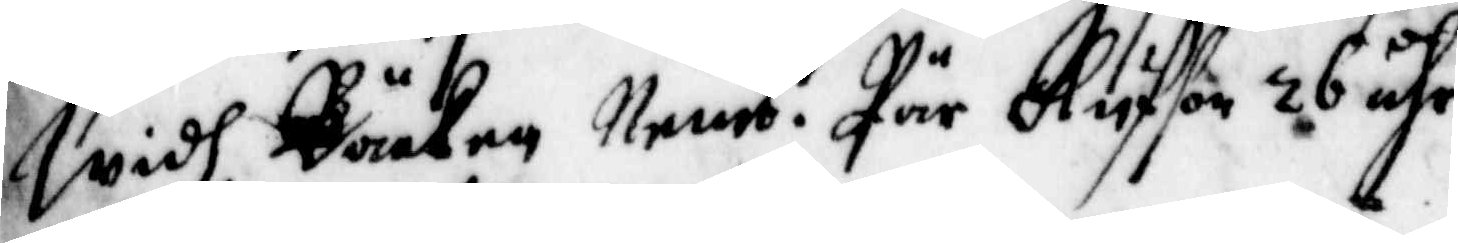widh Bäcken, nemb. Pär Olufson 26 år.
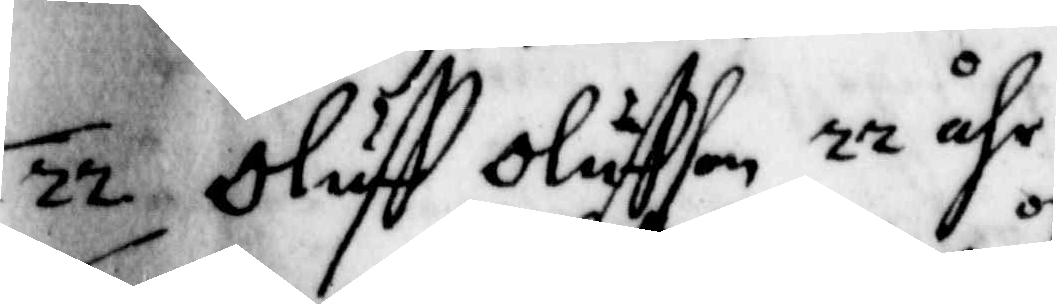22. Oluff Oluffson 22 åhr.
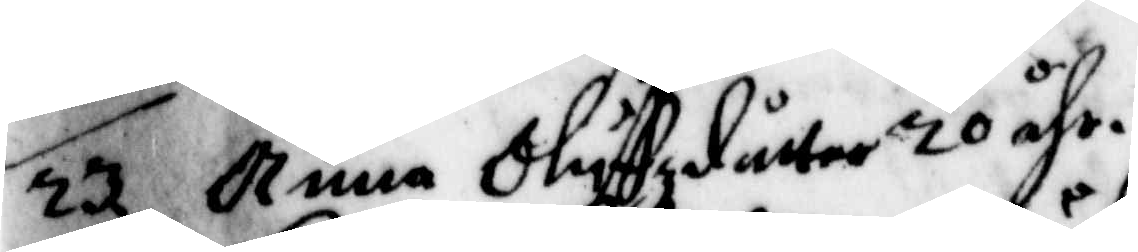23. Anna Oluffzdåtter 20 åhr.
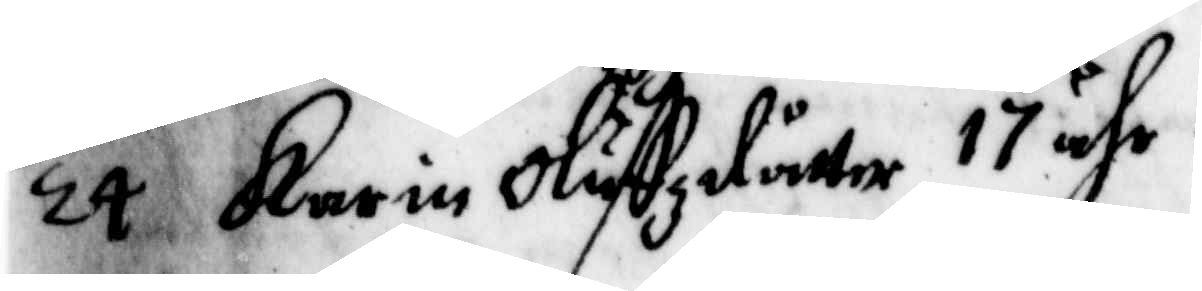24. karin oluffzdåtter 17 åhr.
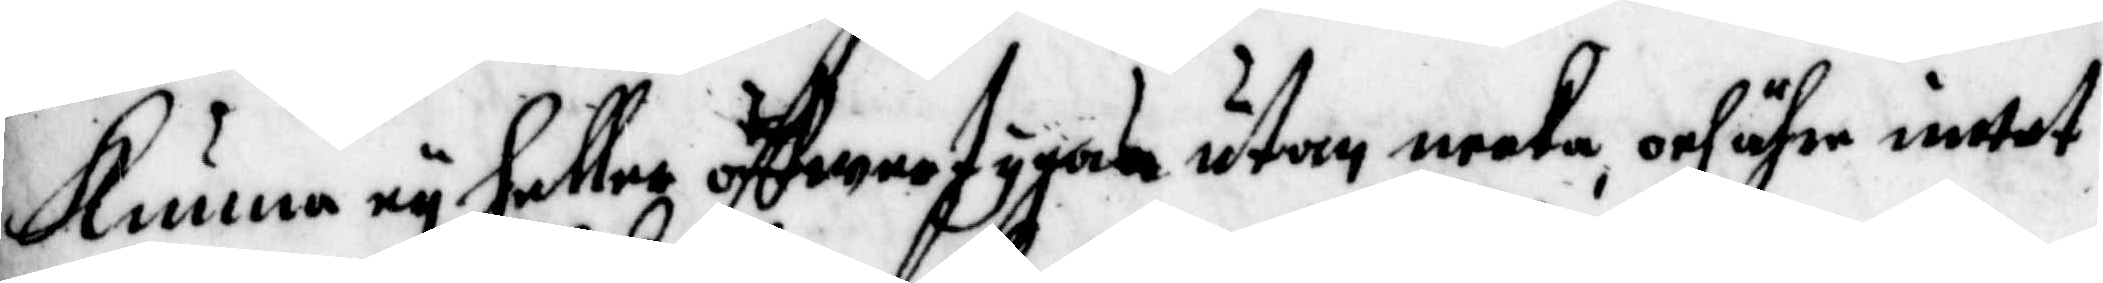Kunna ey hellre öffwertygas utan neeka och ähre inttet
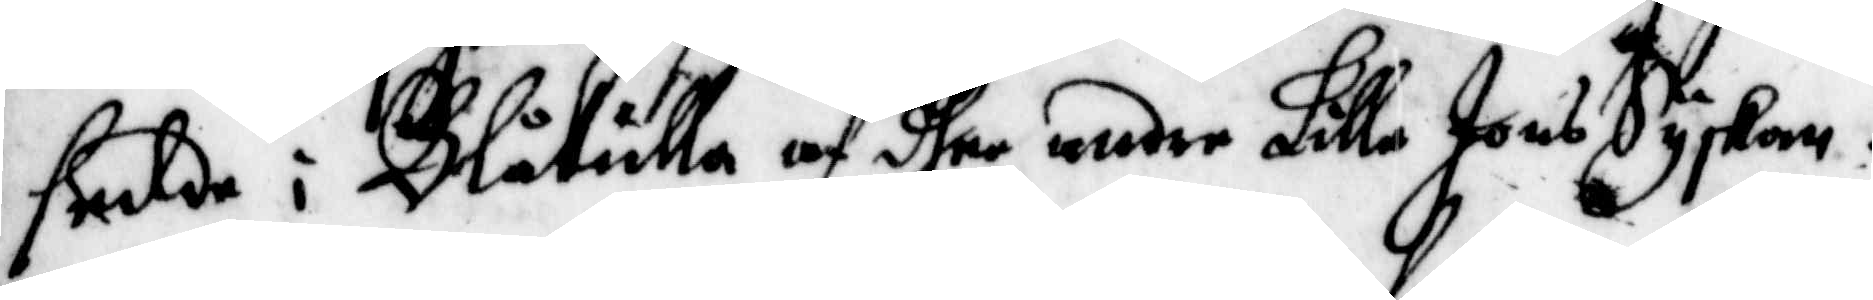sedde i Blåkulla af den andre Lilla Jons Syskon.
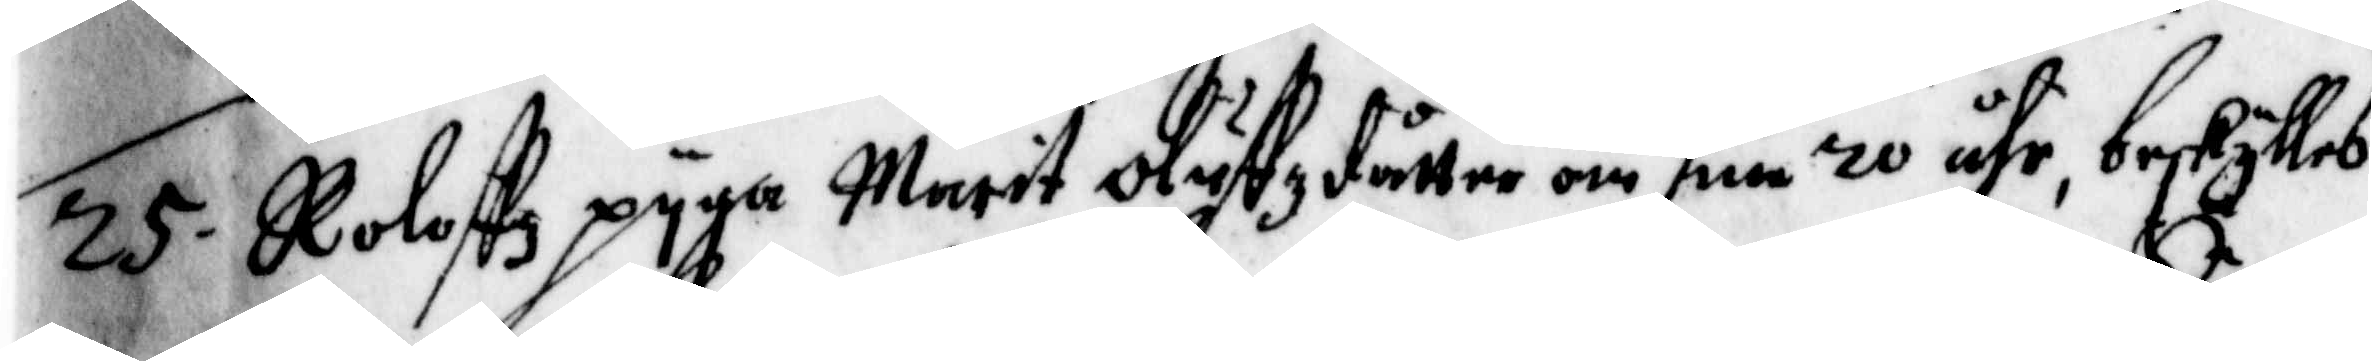25. Roloffz pyga Märit Oluffzdåtter om sine 20 åhr beskylles
